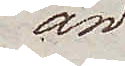än
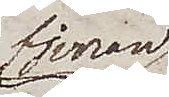fjerran
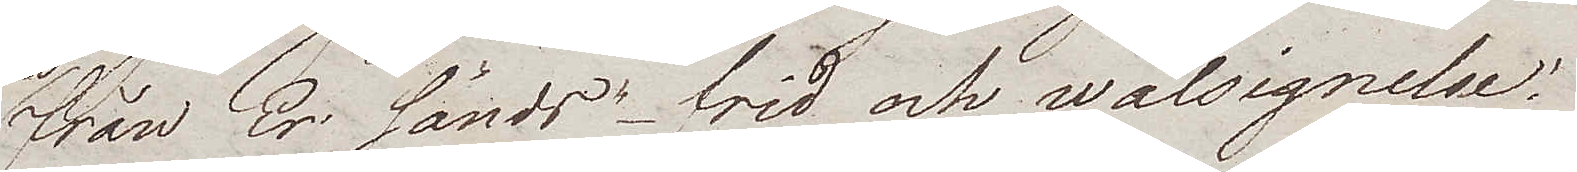från Er sänds – frid och wälsignelse.
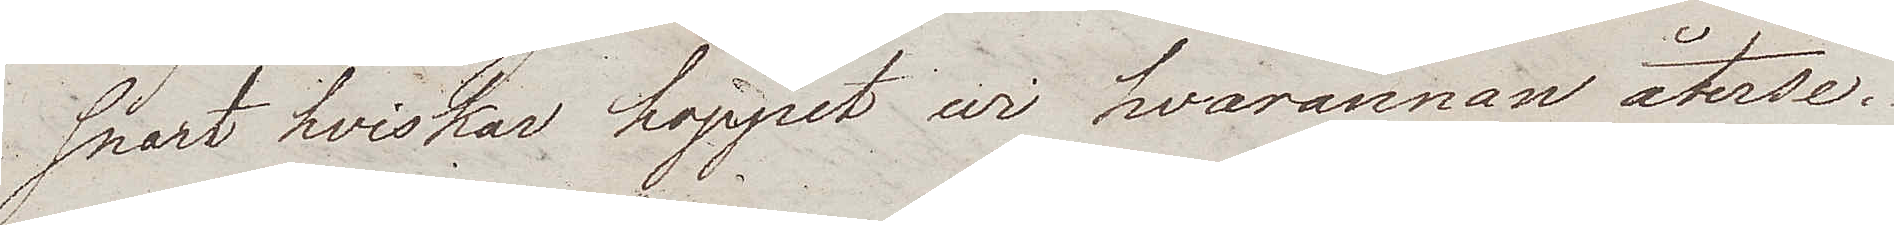snart hviskar hoppet wi hvarannan återse.
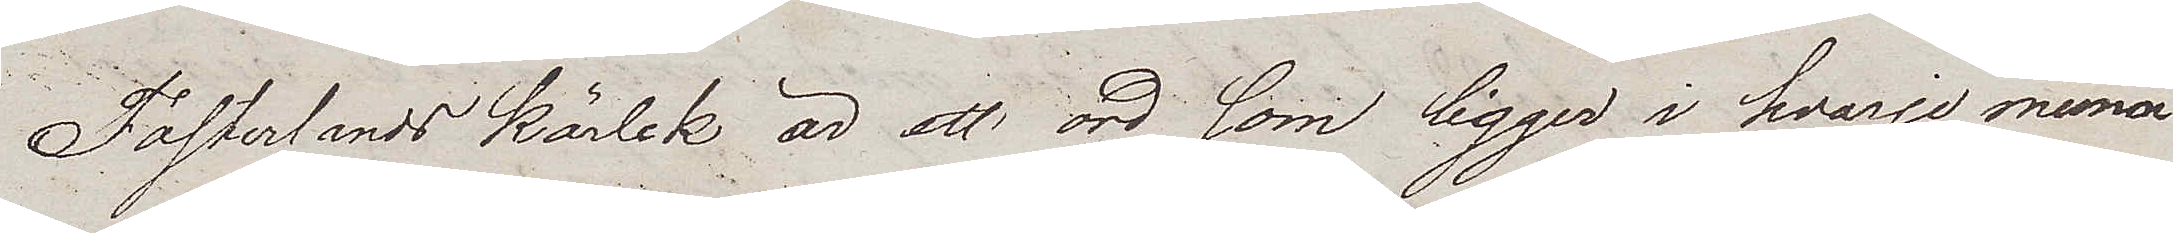Fosterlands kärlek är ett ord som ligger i hvarje mund
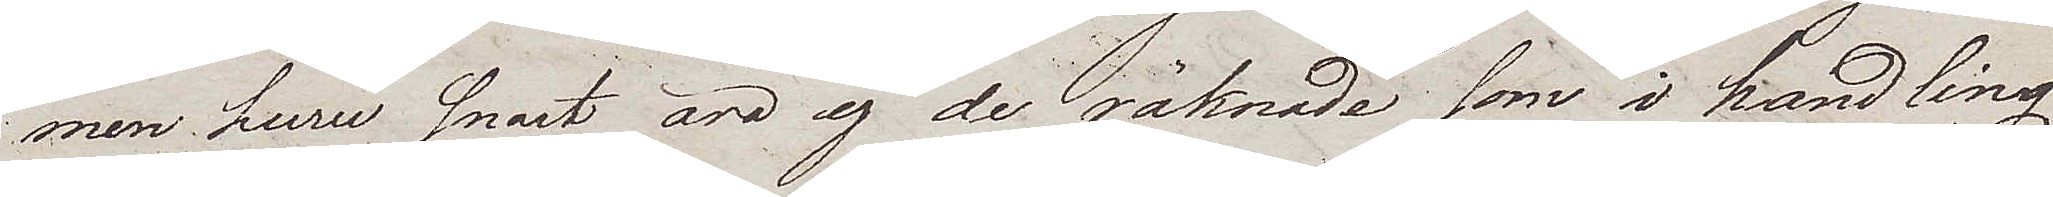men huru snart äro ej de räknade som i handling
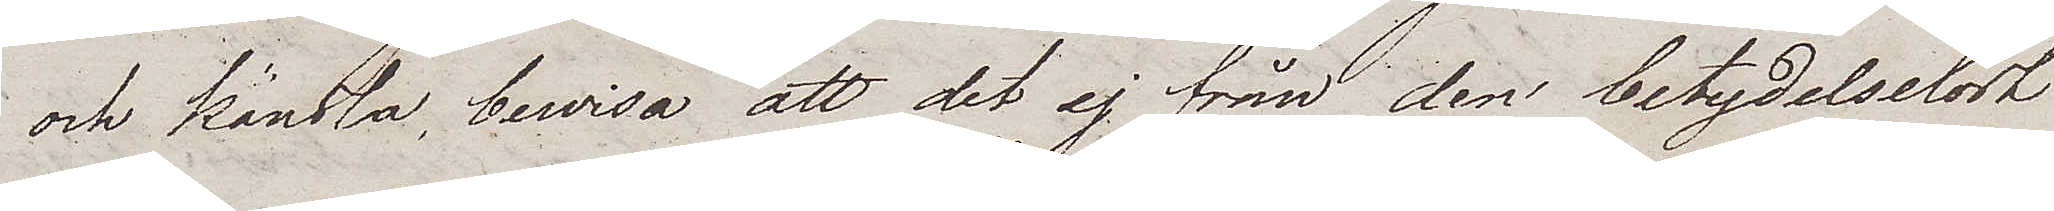och känsla bewisa att det ej från den betydelselöst
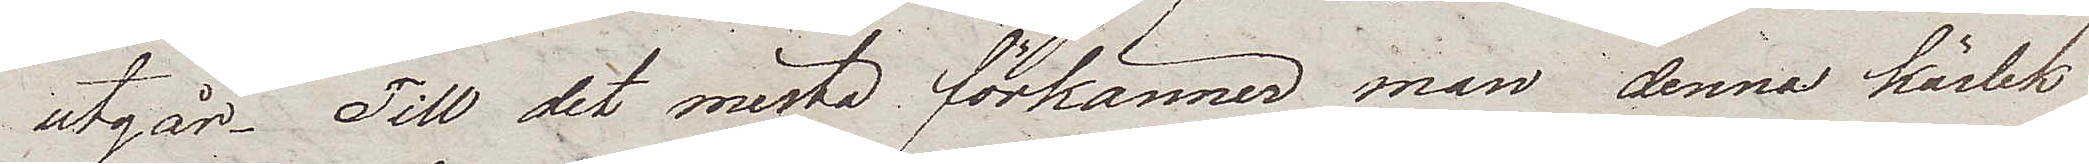utgår. Till det mesta förkänner man denna kärlek
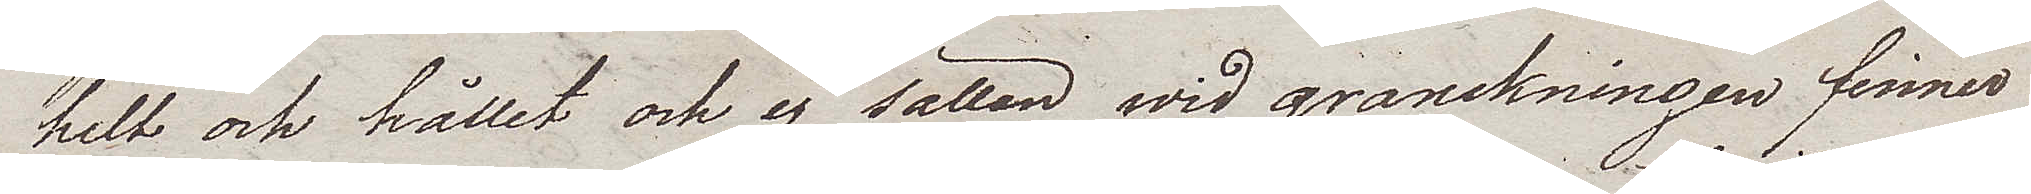helt och hållet och ej sällan wid granskningen finner
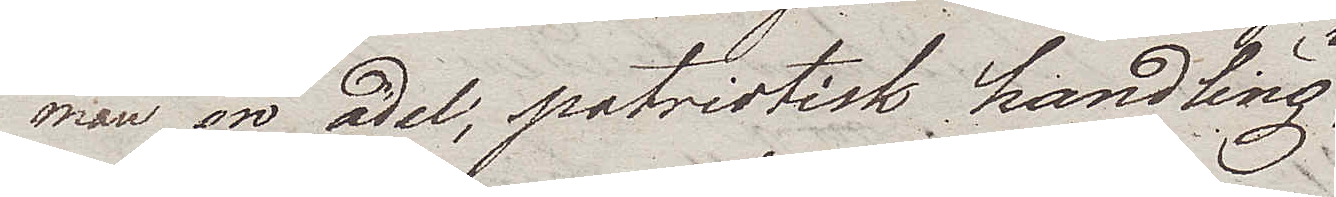man en ädel, patriotisk handling
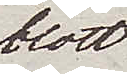blott
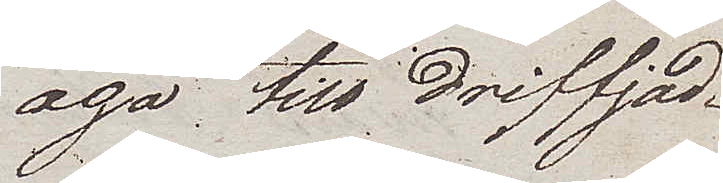äga till driffjäd¬
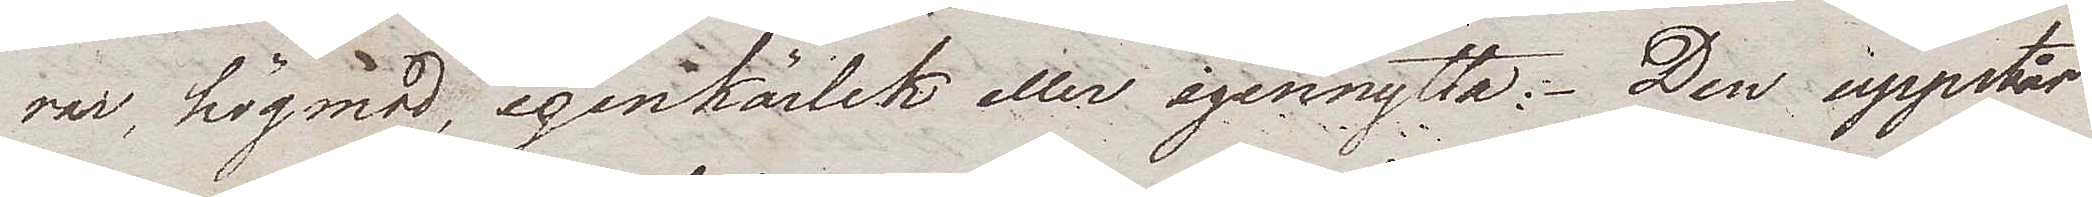rar, högmod, egenkärlek eller egennytta. Den uppstår
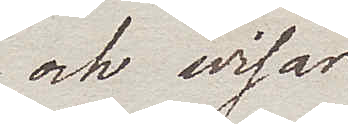och wisar
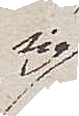sig
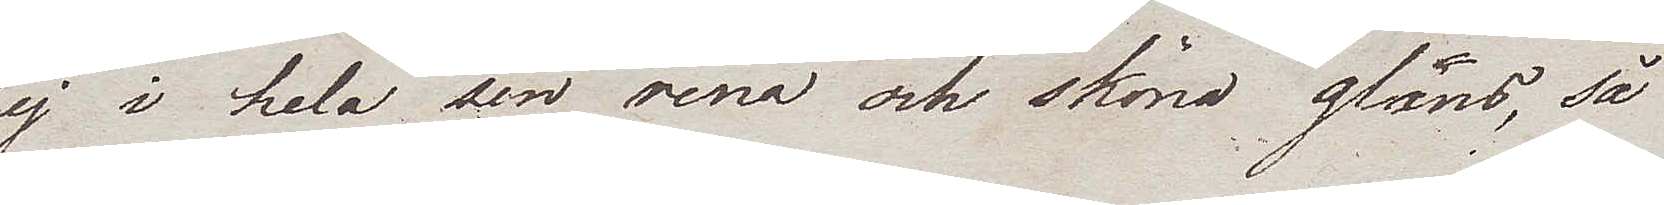ej i hela sin rena och sköna glans, så
